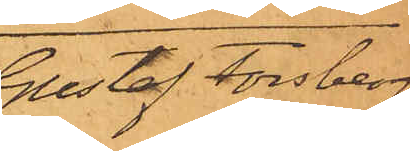Gustaf Forsberg
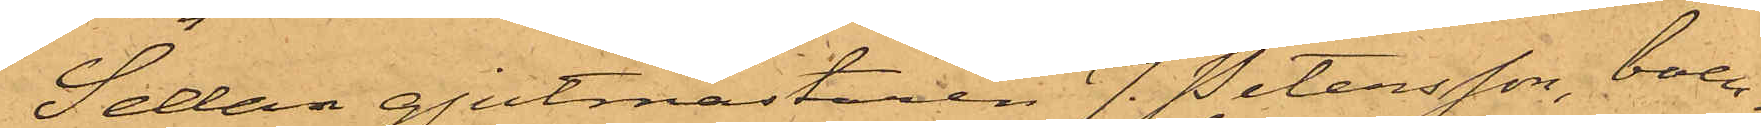Sedan gjutmästaren J. Petersson, boen¬
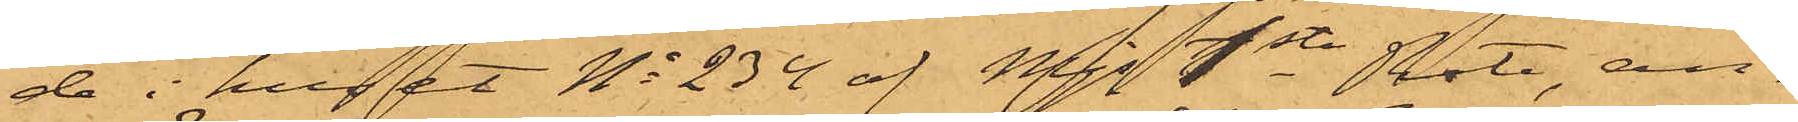de i huset No 234 af Mjs 1sta Rote, an¬
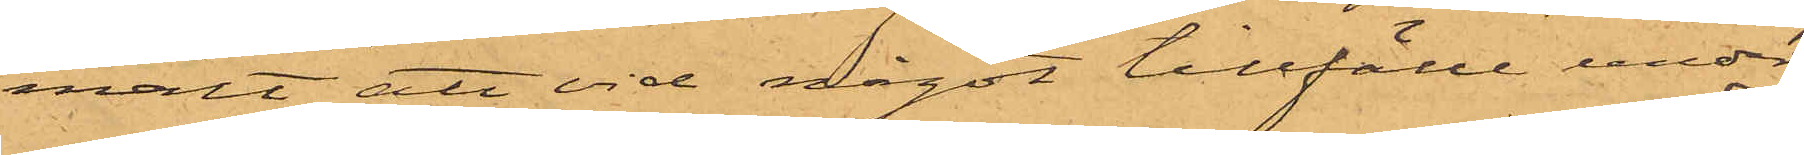mält att vid något tillfälle under
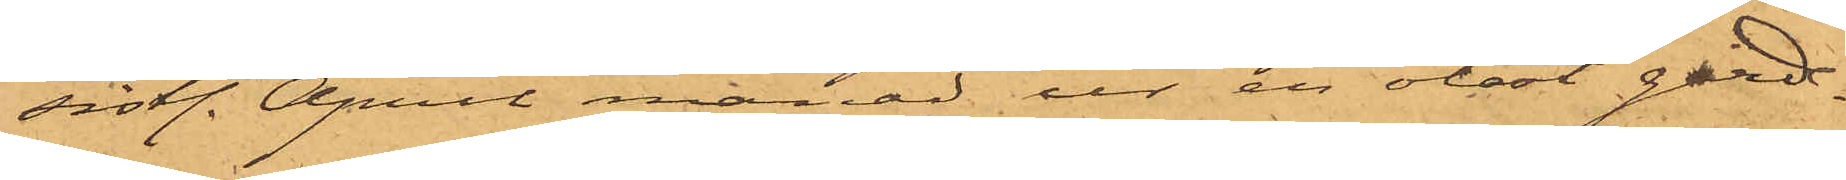sistl. April månad ur en olåst garde¬
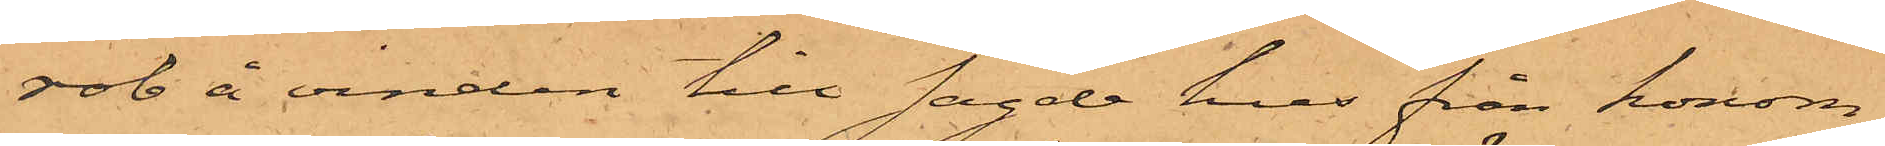rob å vinden till sagde hus från honom
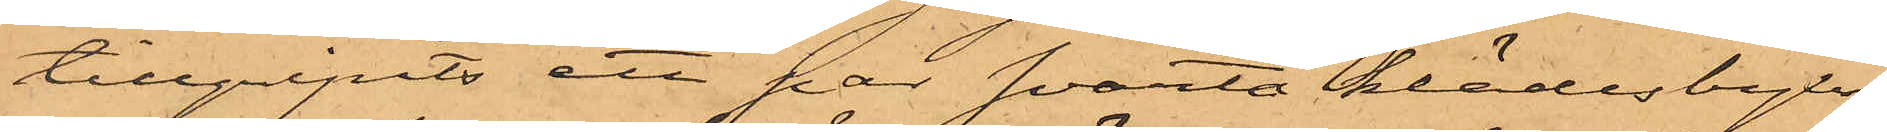tillgripits ett par svarta klädesbyxor
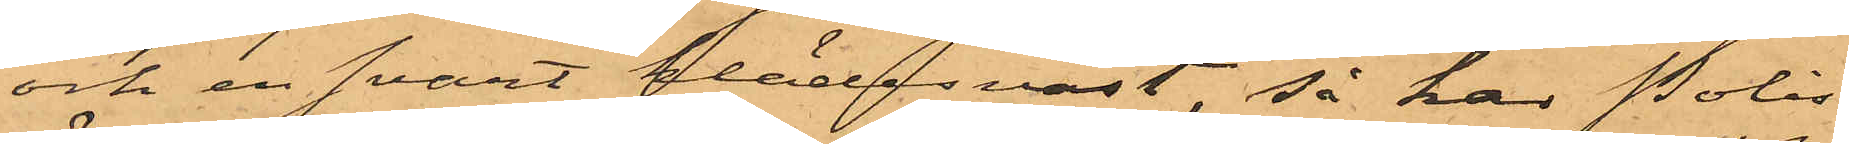och en svart klädesväst, så har Polis¬
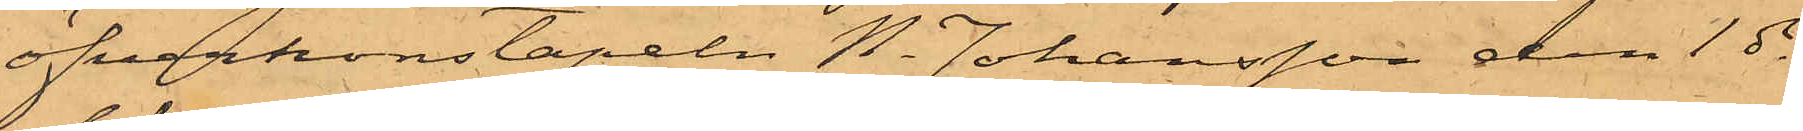öfverkonstapeln N. Johansson den 1 ds
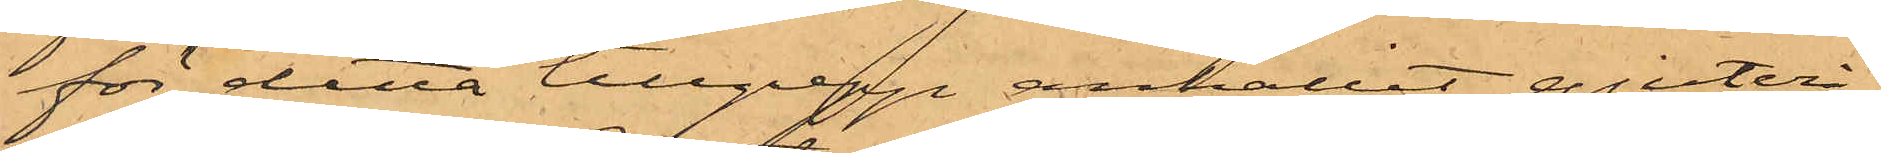för detta tillgrepp anhållit gjuteri¬
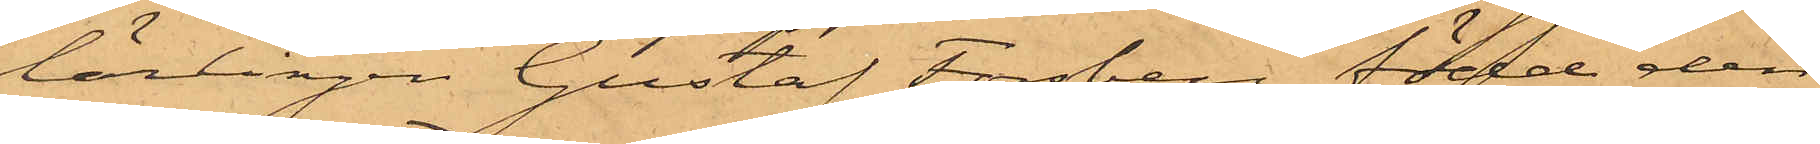lärlingen Gustaf Forsberg, född den
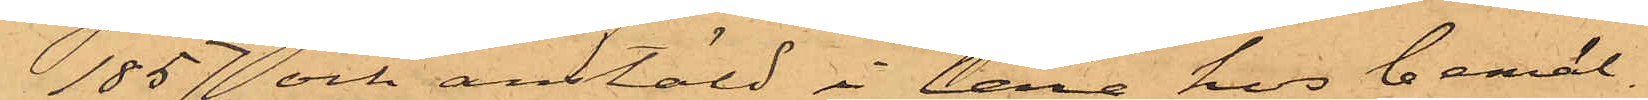1857 och anstäld i lära hos bemäl¬
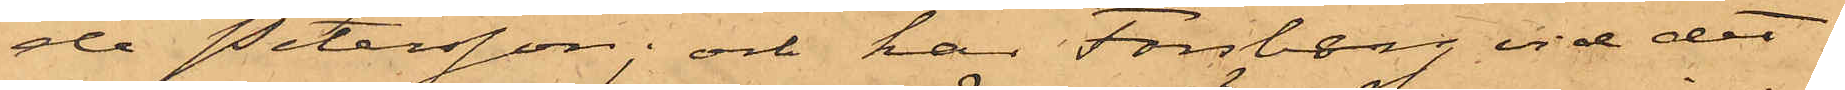de Petersson; och har Forsberg vid det
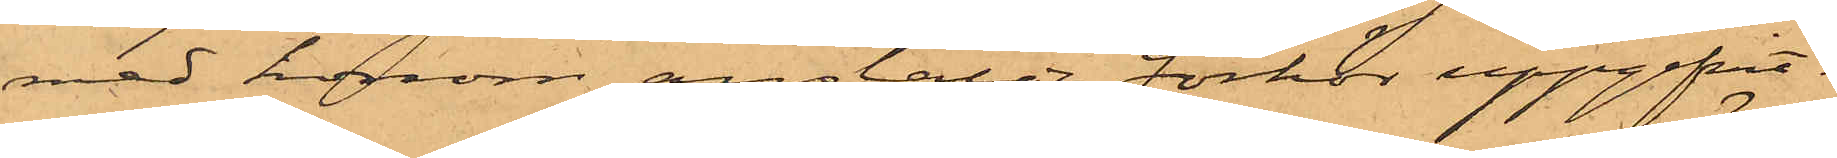med honom anstälde förhör uppgifvit:
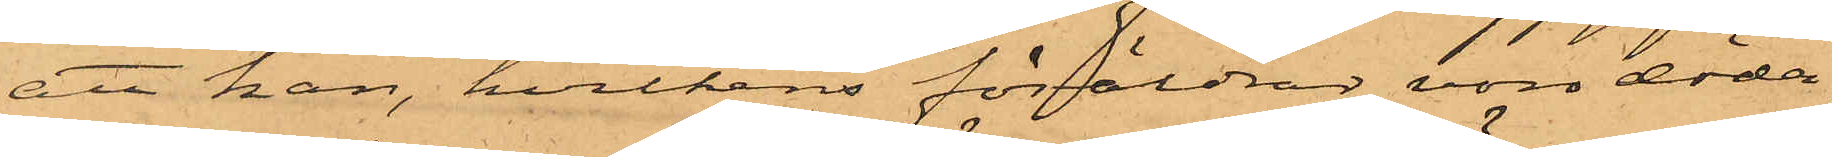att han, hvilkens föräldrar voro döda,
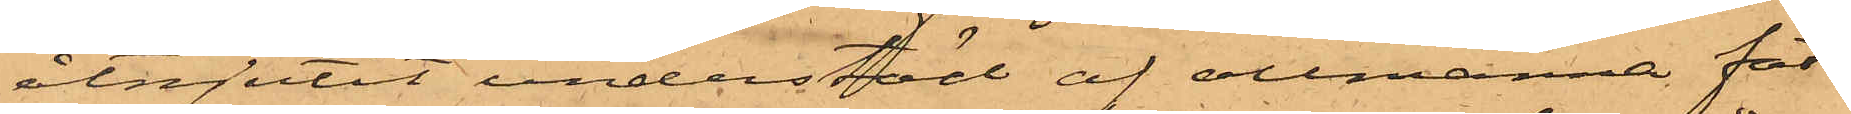åtnjutit understöd af allmänna fat¬
